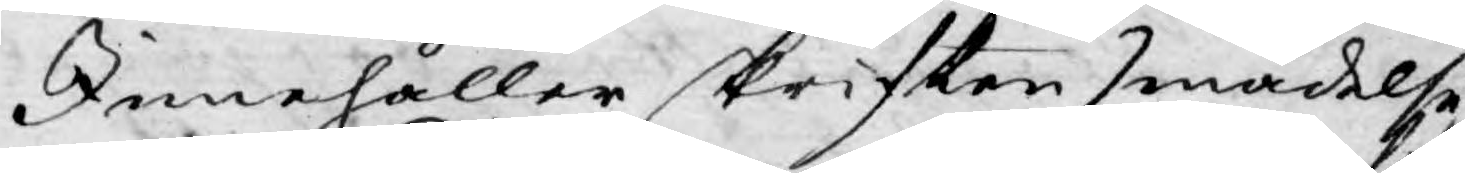Innehåller skriften smädelse
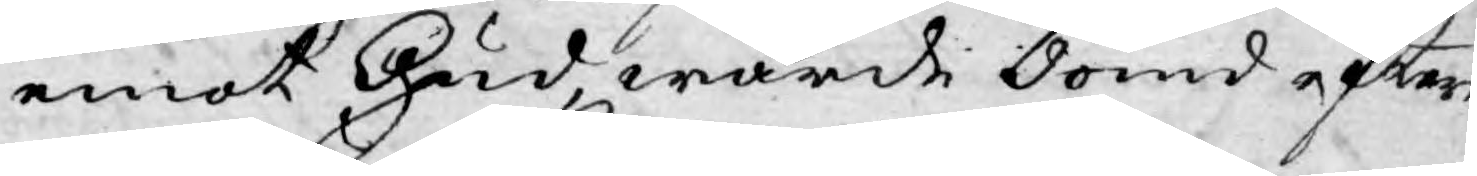emot Gud, warde dömd efter
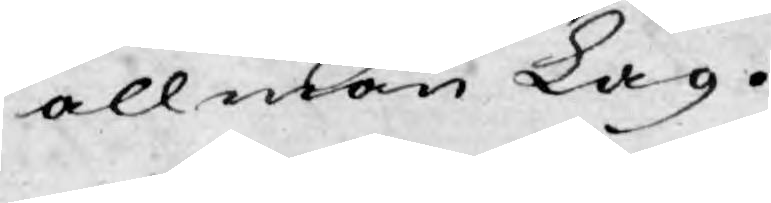allmän Lag.
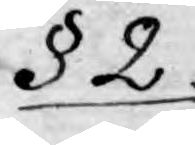§ 2.
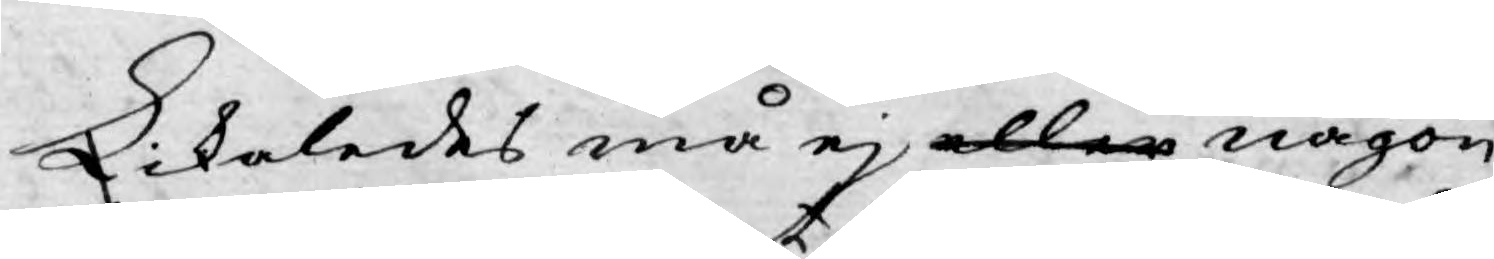Likaledes må ej eller någon
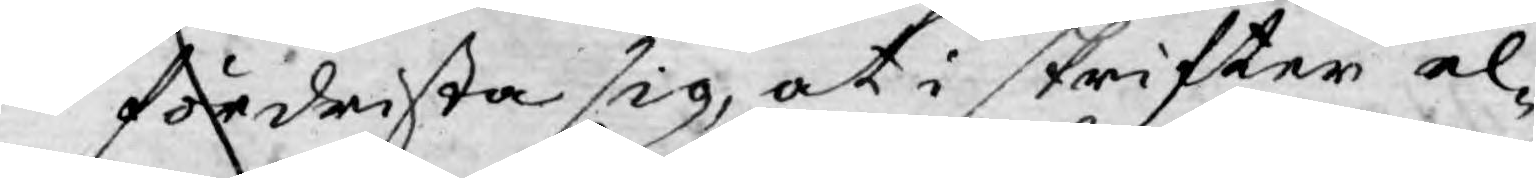fördrista sig, at i skrifter el¬
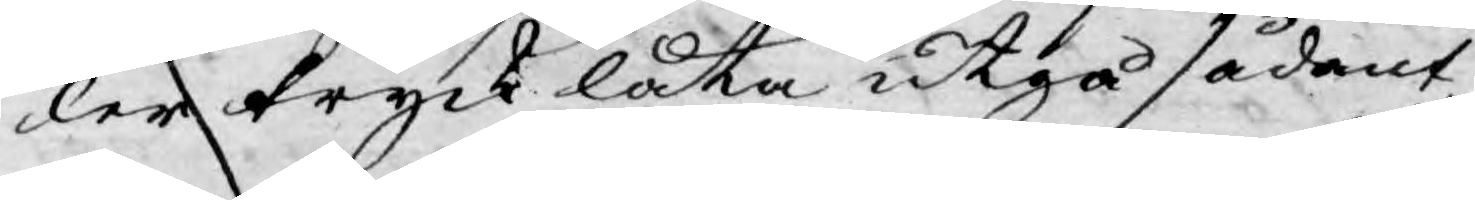ler tryck låta utgå sådant
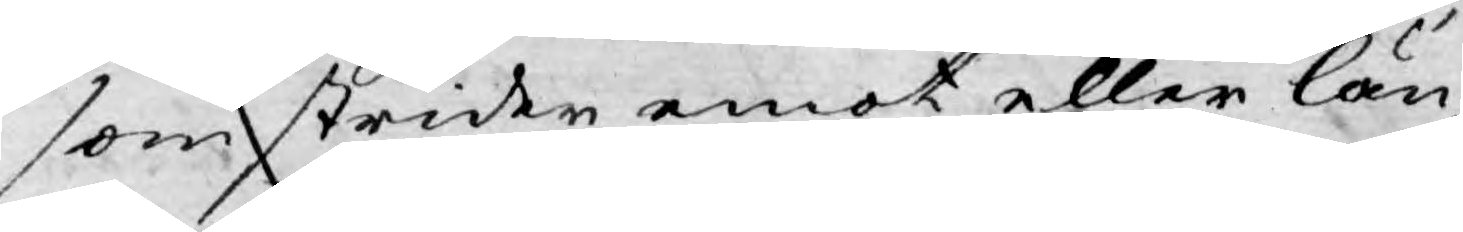som strider emot eller län¬
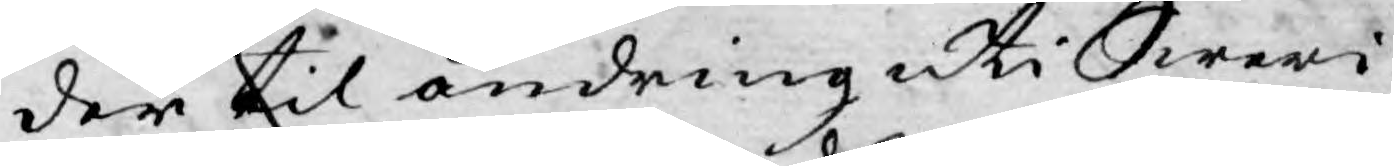der til ändring uti Sweri¬
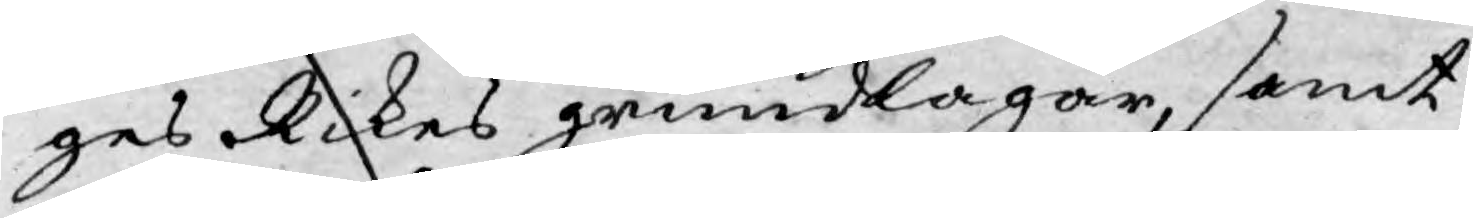ges Rikes grundlagar, samt
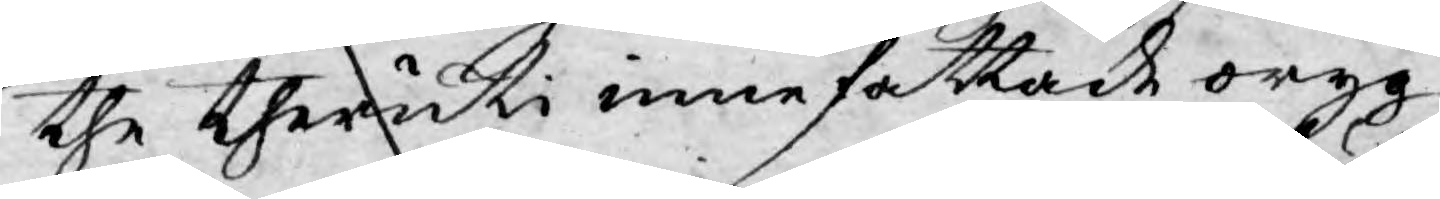the theruti innefattade oryg¬
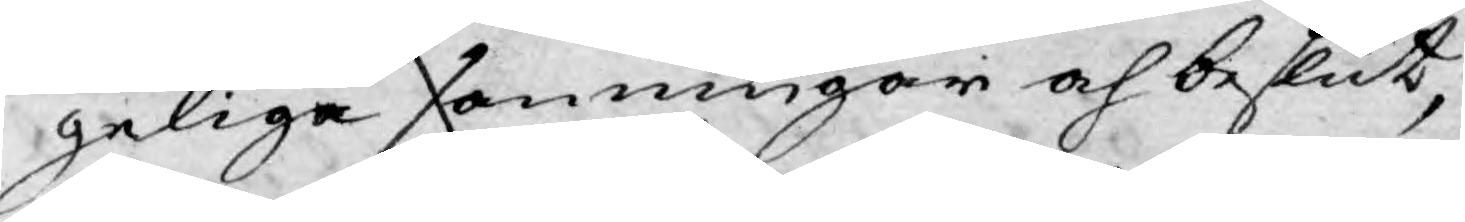geliga sanningar och beslut,
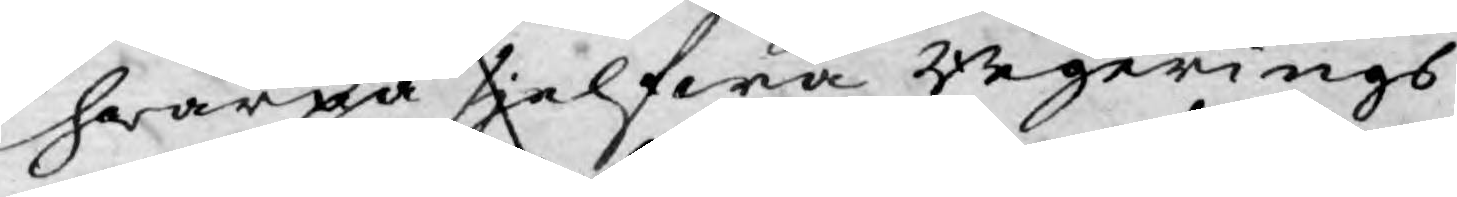hwarpå sjelfwa Regerings
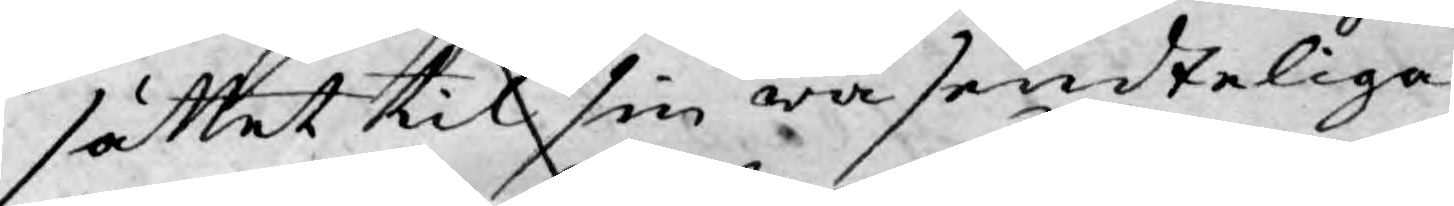sättet til sin wäsendteliga
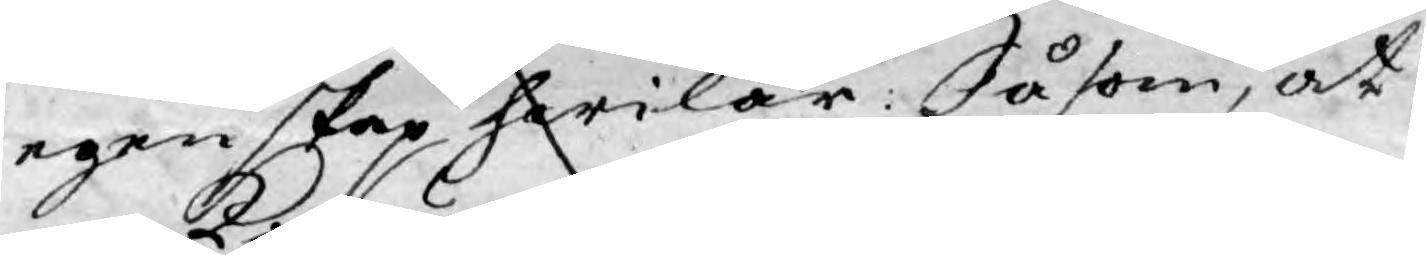egenskap hwilar: Såsom, at
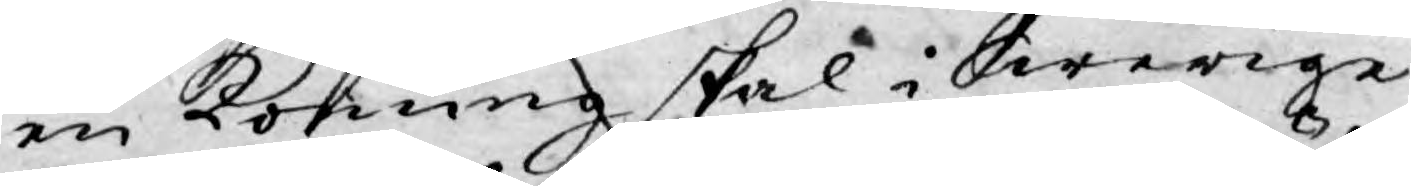en Konung skal i Swerige
